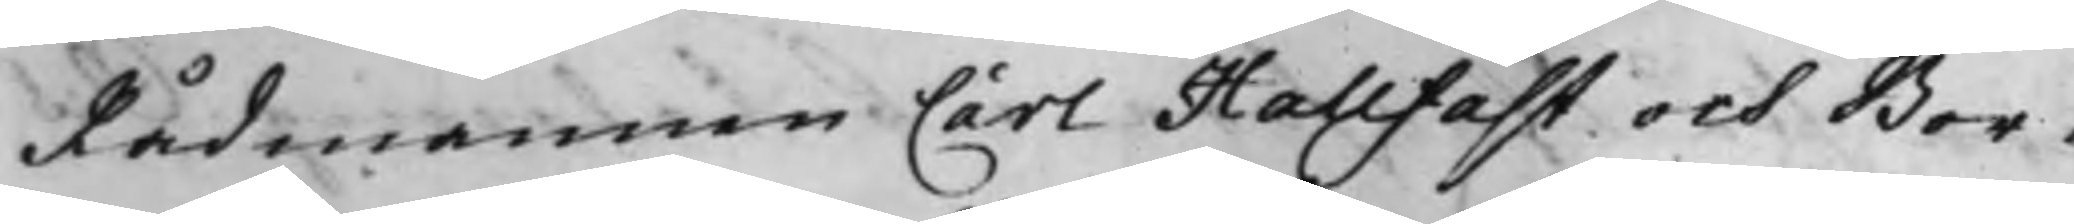Rådmannen Carl Hallfast och Bor¬
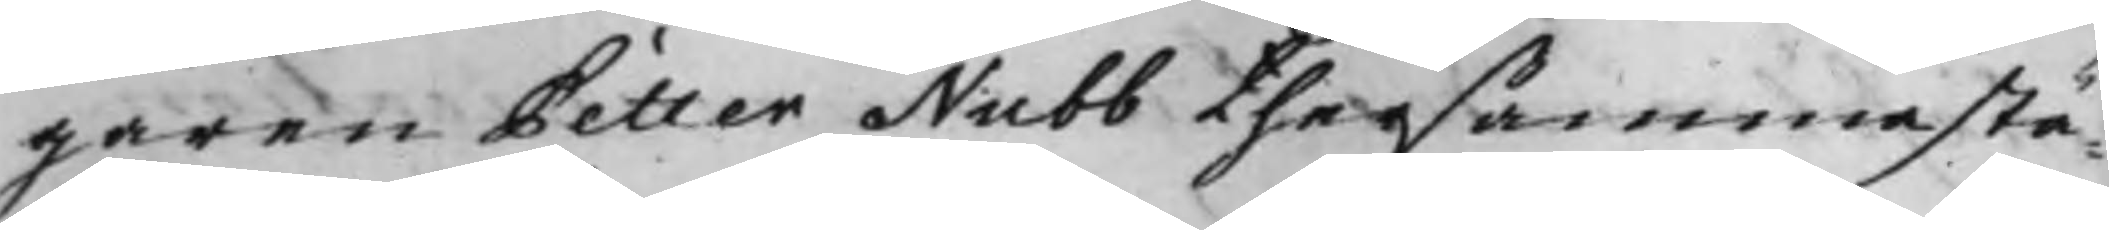garen Petter Nubb thersammastä¬
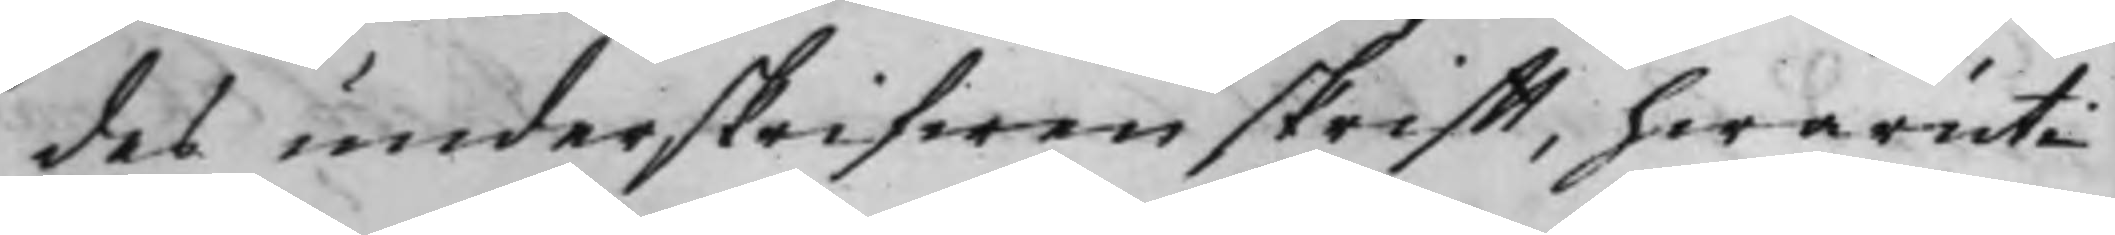des underskrifwen skrifft, hwaruti
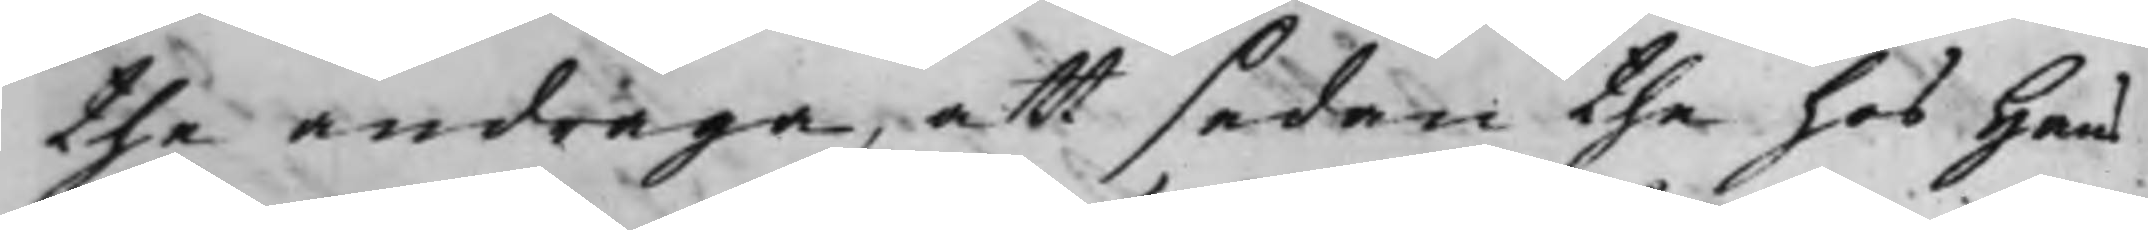the andraga, att sedan the hos Hans
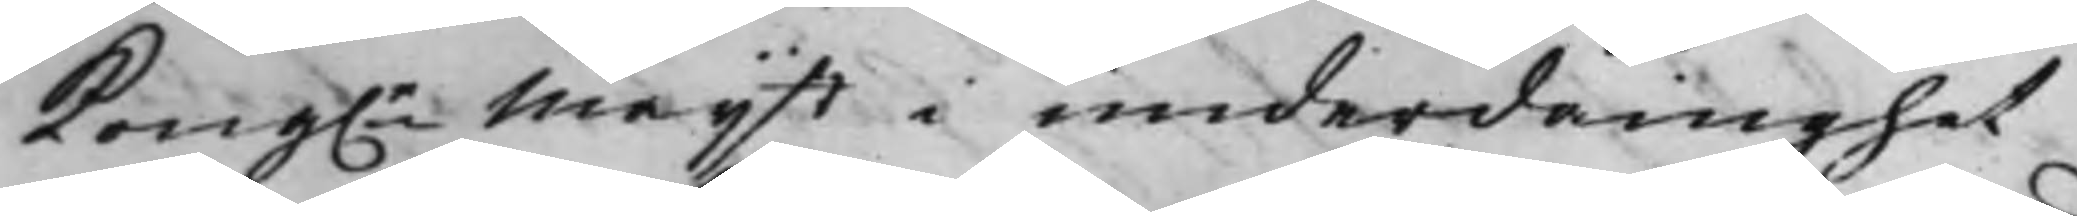Kong.e Maijt i underdånighet
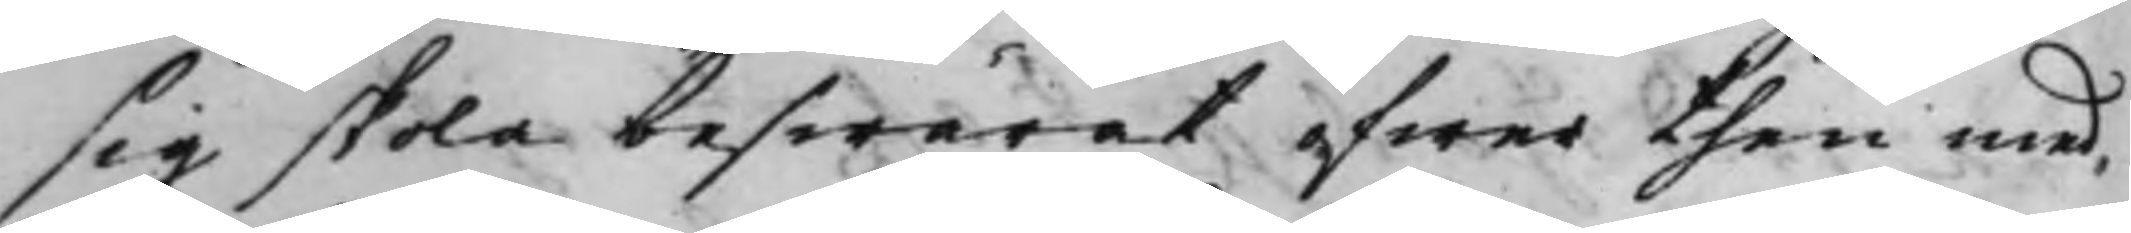sig skola beswärat öfwer then med¬
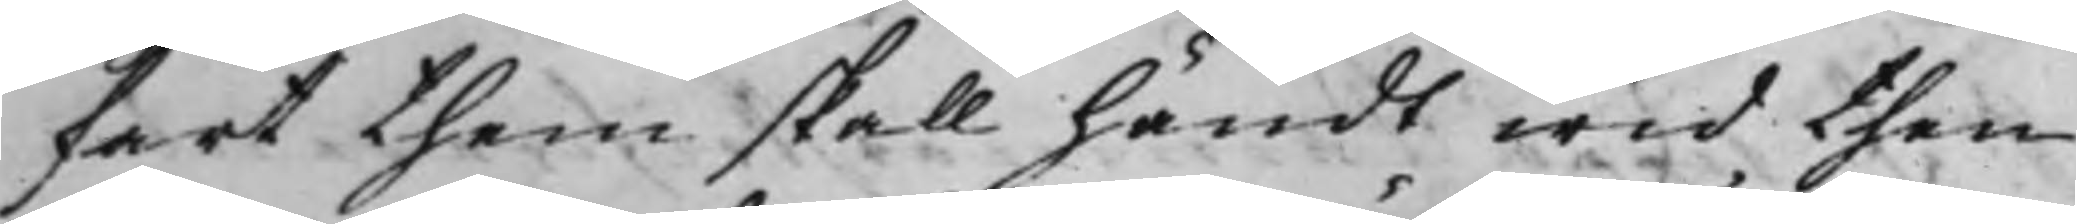fart them skall händt wid then
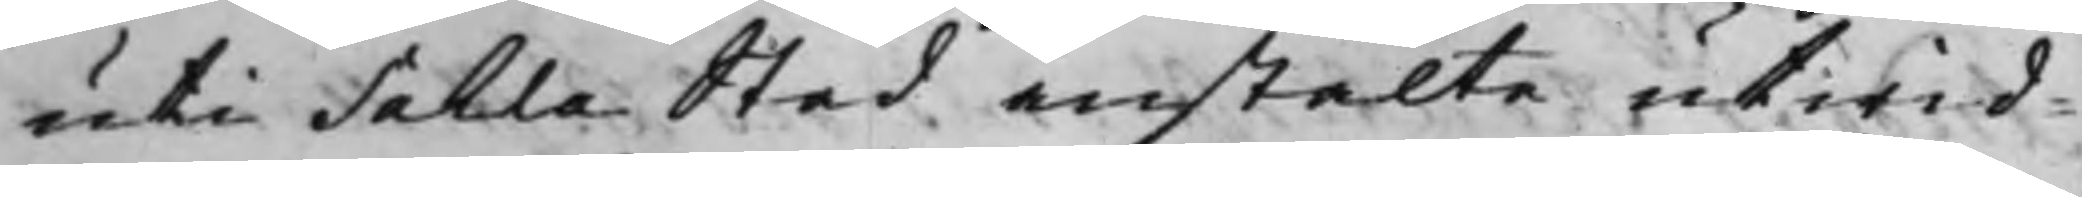uti Sahla Stad anstälte utwid¬
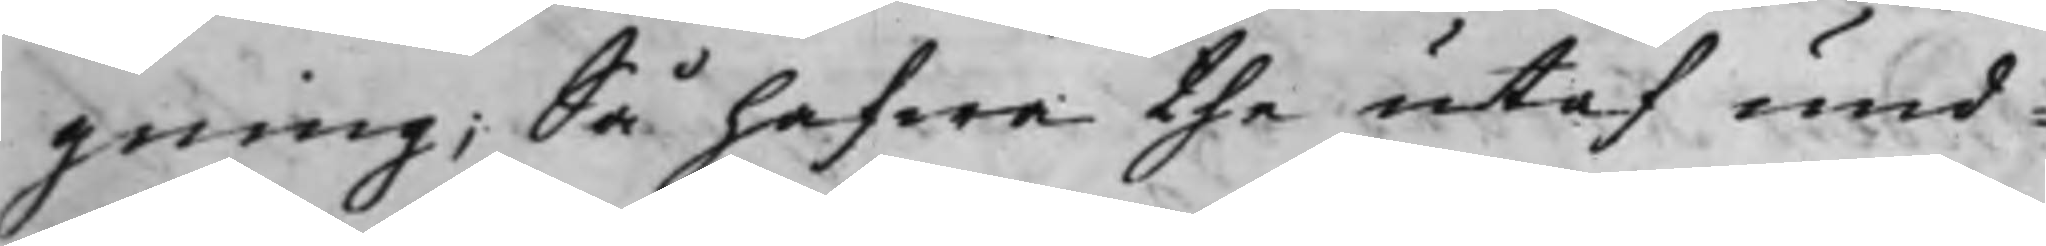gning; Så hafwa the utaf und¬
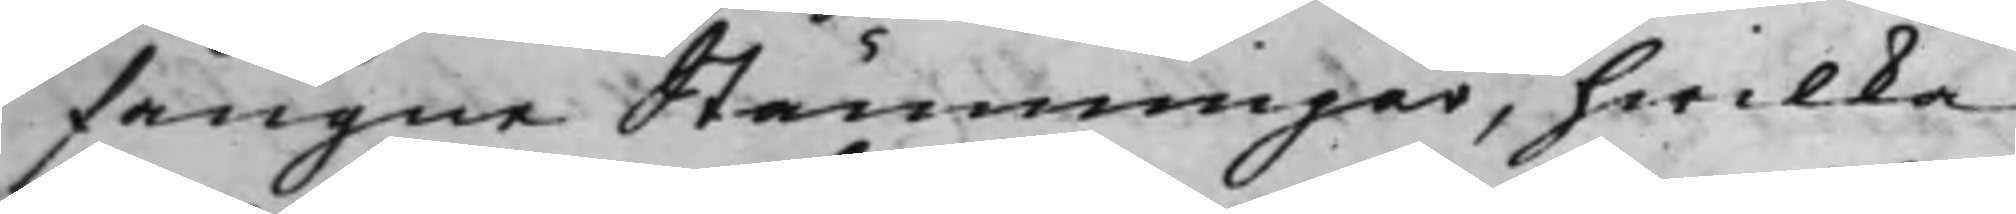fångne Stämningar, hwilka
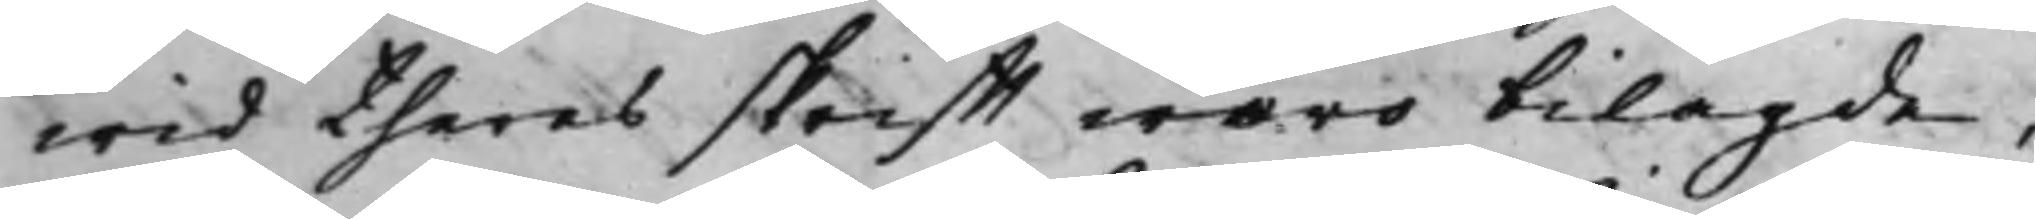wid theras skrifft woro bilagde,
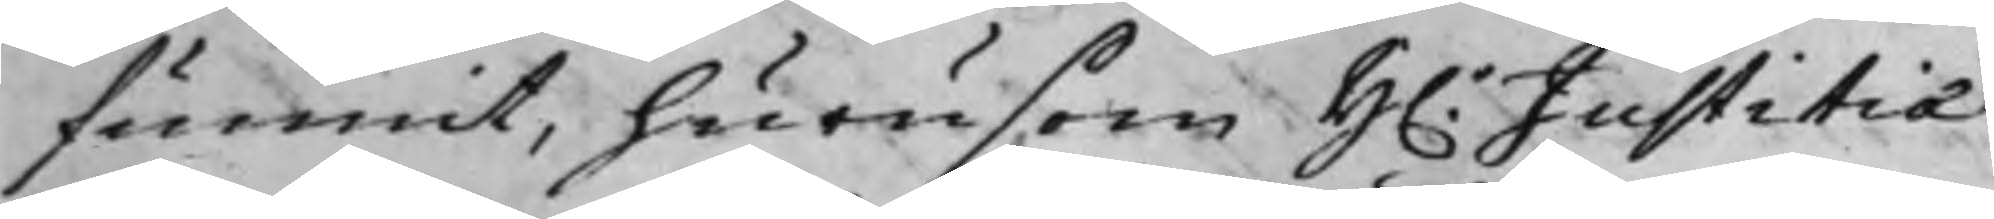funnit, hurusom H.r Justitiæ¬
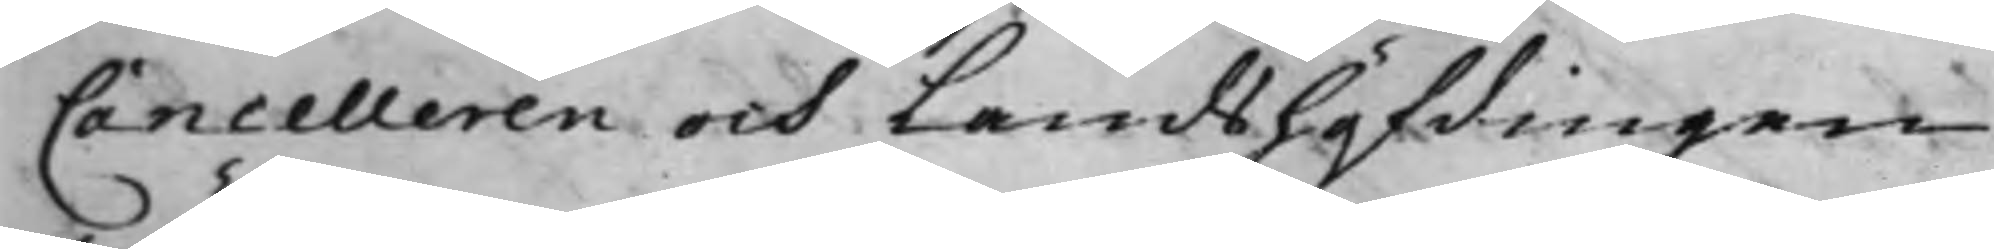Cancelleren och Landshöfdingen
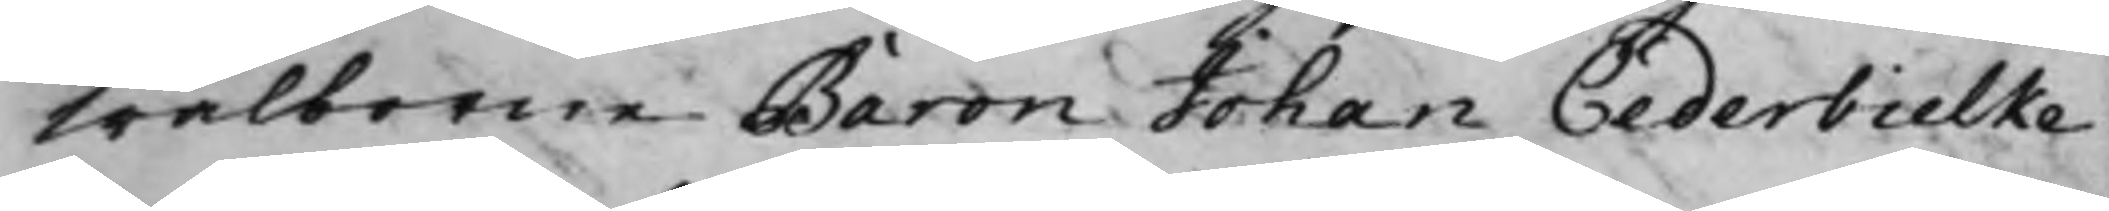Wälborne Baron Johan Cederbielke
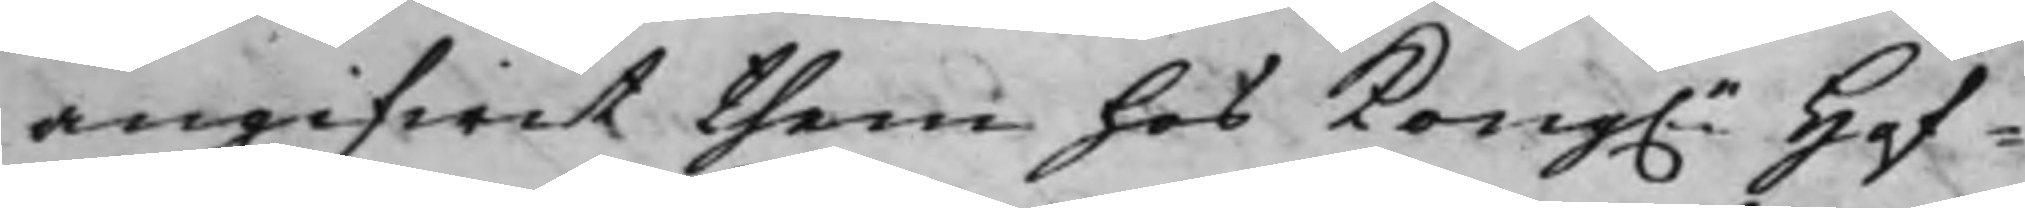angifwit them hos Kong.e Hof¬
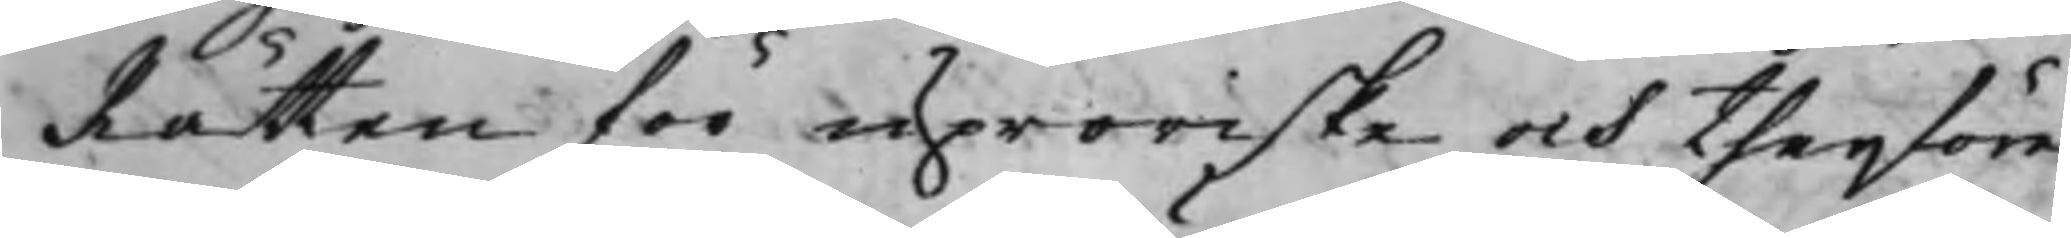Rätten för uproriske och therföre
